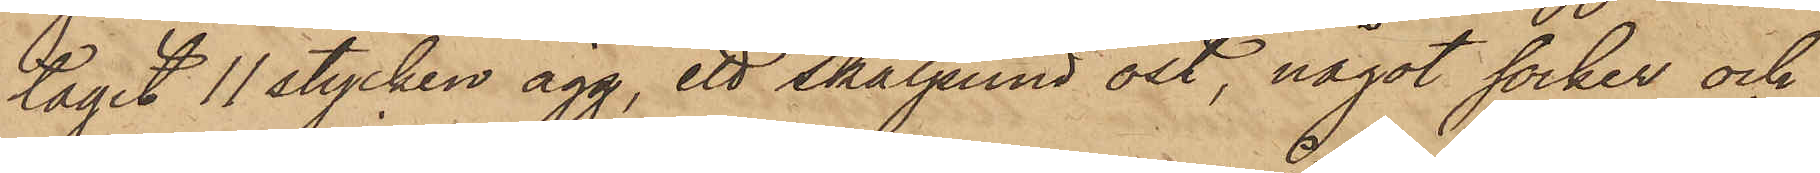tagit 11 stycken ägg, ett skålpund ost, något socker och
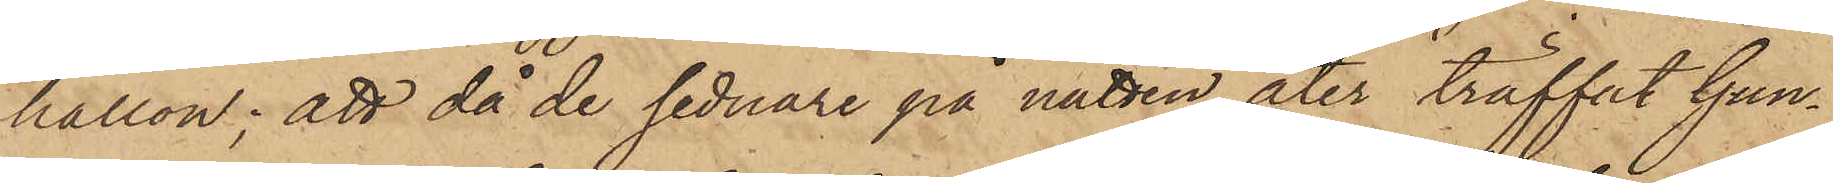hallon; att då de sednare på natten åter träffat Gun¬
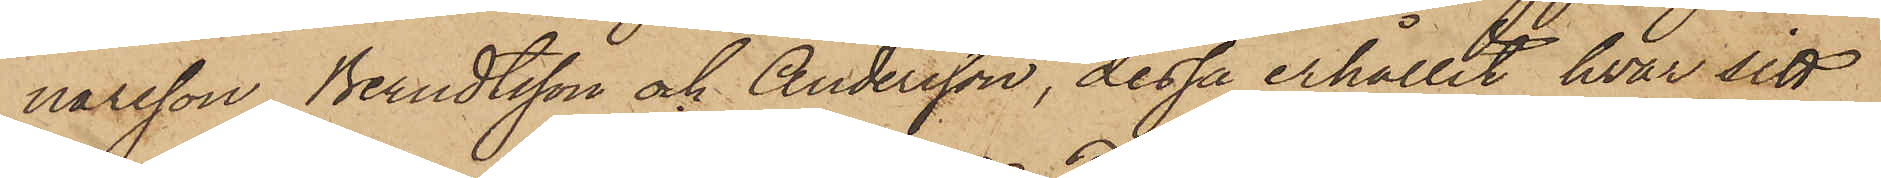narsson, Berndtsson och Andersson, dessa erhållit hvar sitt
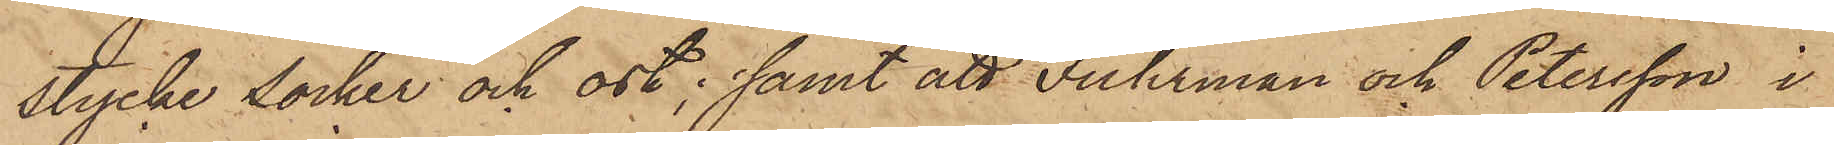stycke socker och ost; samt att Fuhrman och Petersson i
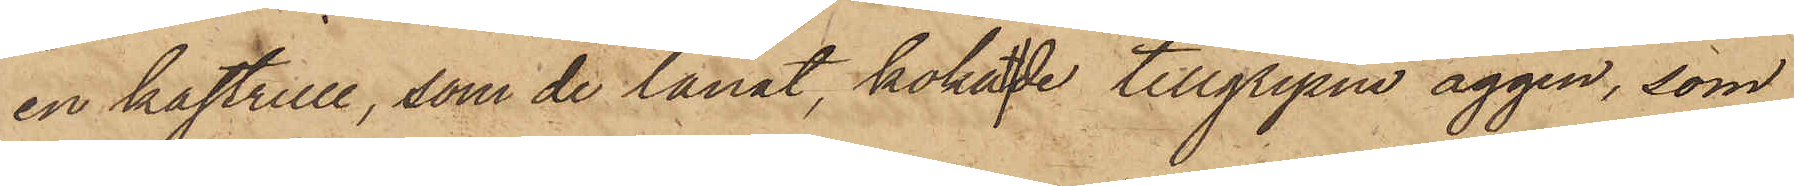en kastrull, som de lånat, kokat de tillgripne äggen, som
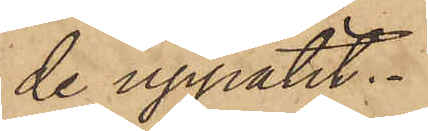de uppätit.
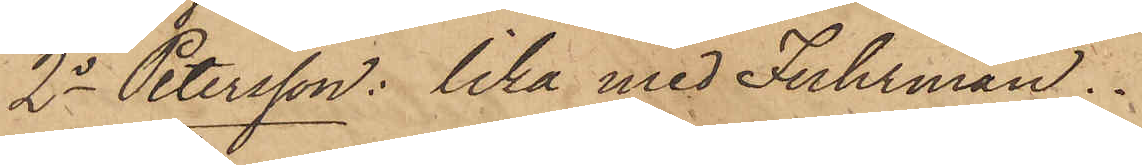2o Petersson: lika med Fuhrman.
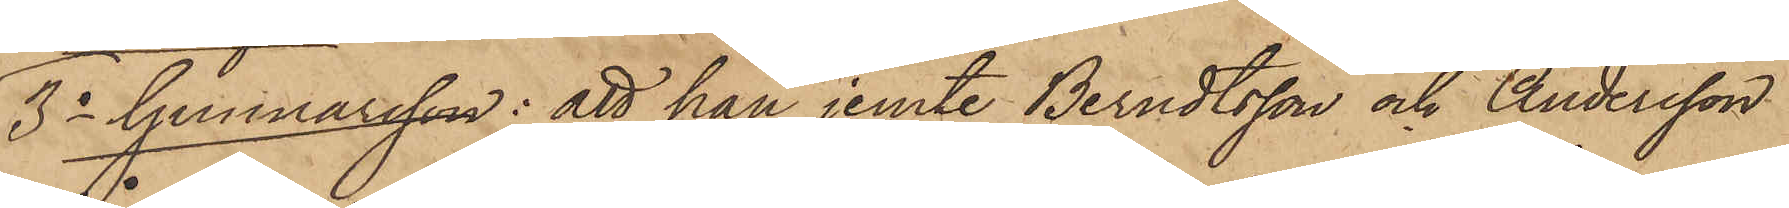3o Gunnarsson: att han jemte Berndtsson och Andersson
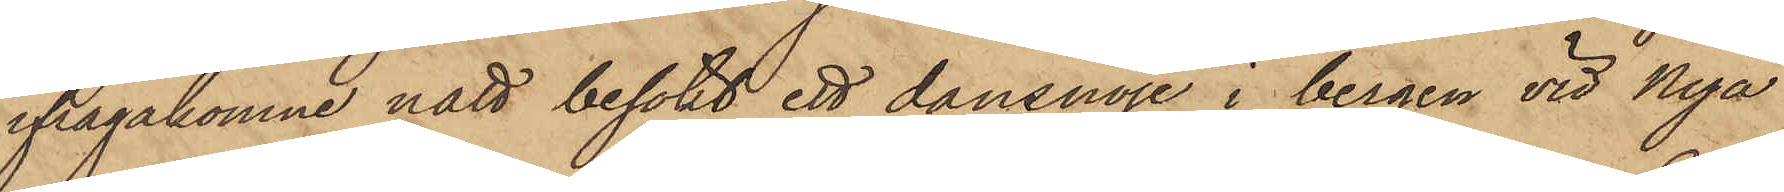ifrågakomne natt besökt ett dansnöje i bergen vid Nya
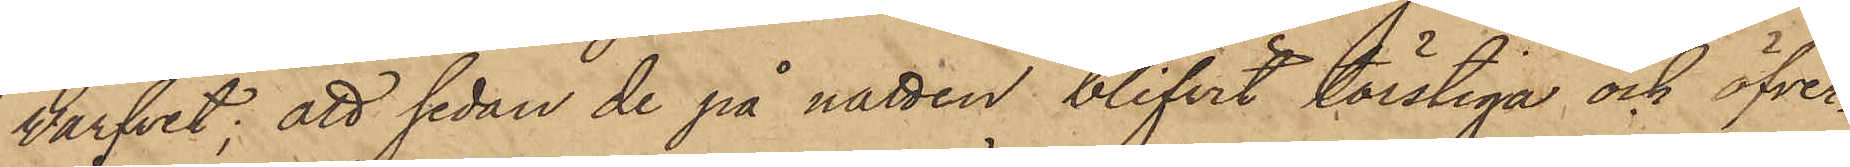Varfvet; att sedan de på natten blifvit törstiga och öfver¬
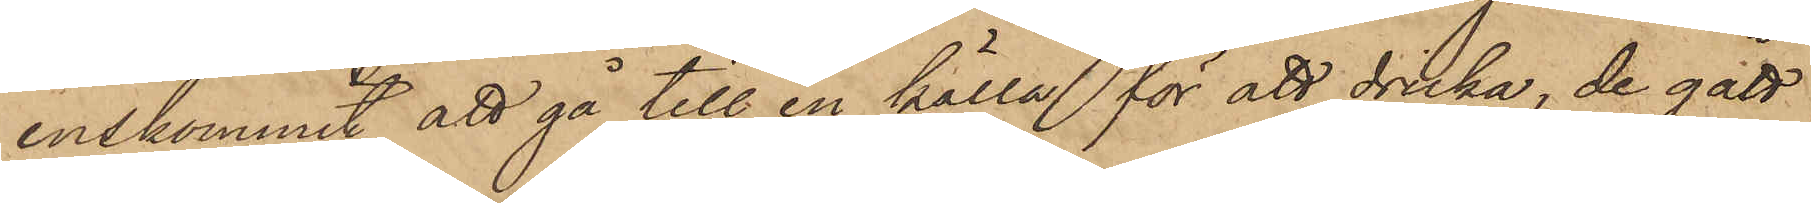enskommit att gå till en källa för att dricka, de gått
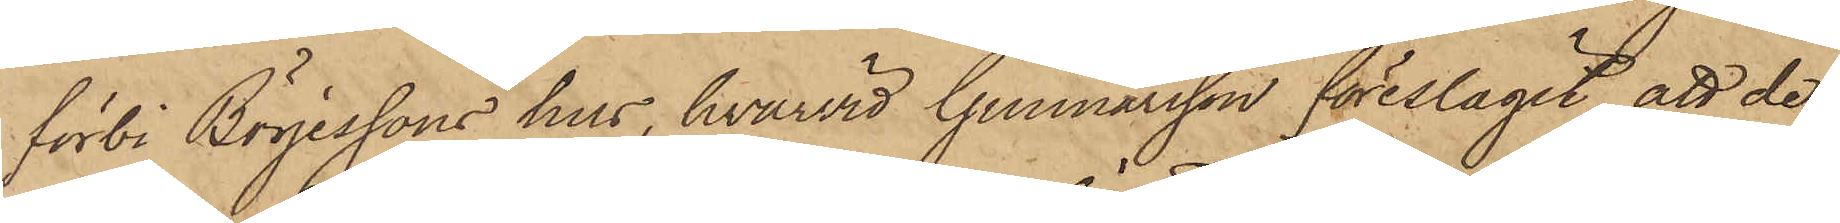förbi Börjessons hus, hvarvid Gunnarsson föreslagit att de
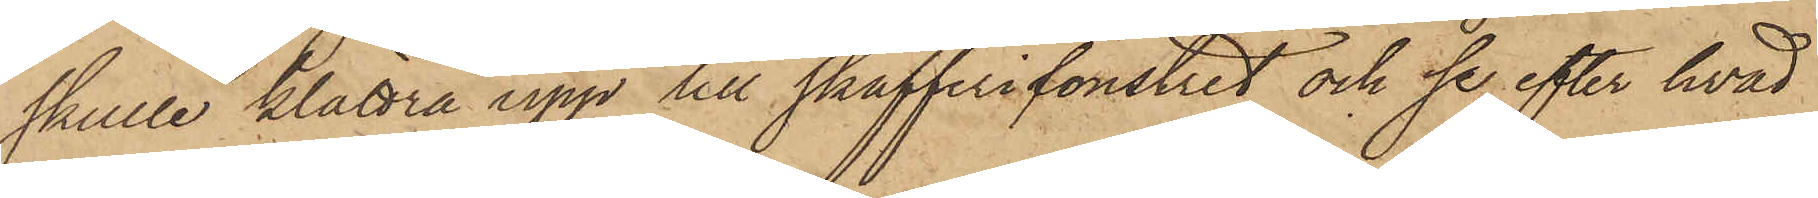skulle klättra upp till skafferifönstret och se efter hvad
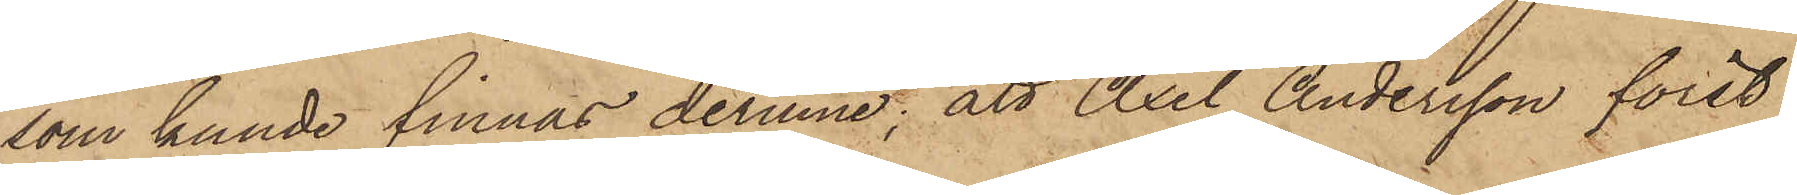som kunde finnas derinne; att Axel Andersson först
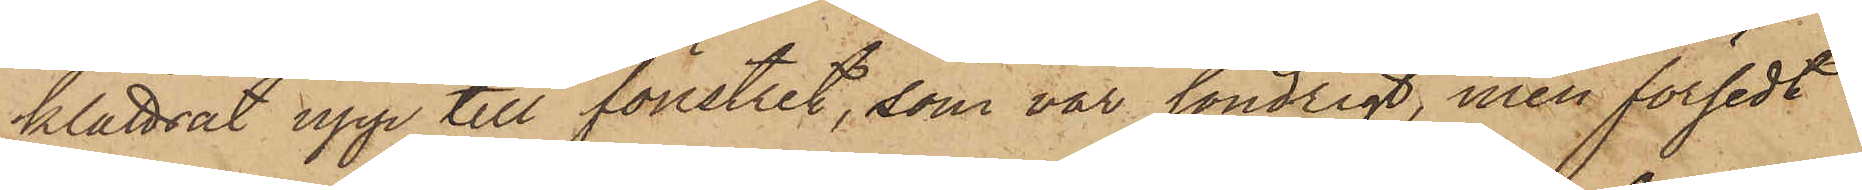klättrat upp till fönstret, som var söndrigt, men försedt
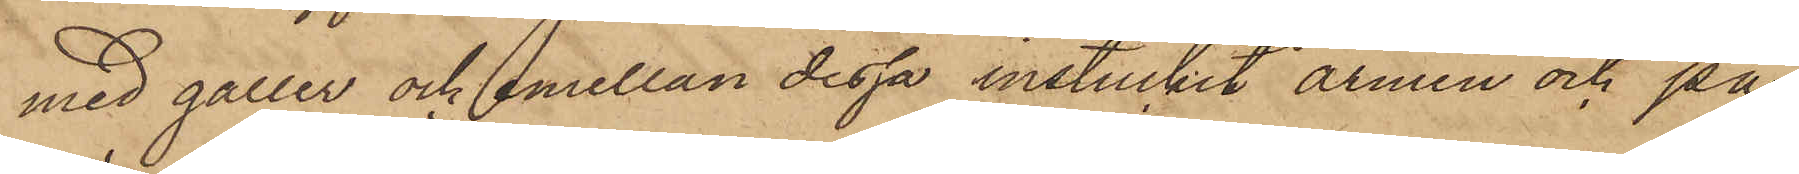med galler och emellan dessa instuckit armen och på¬
